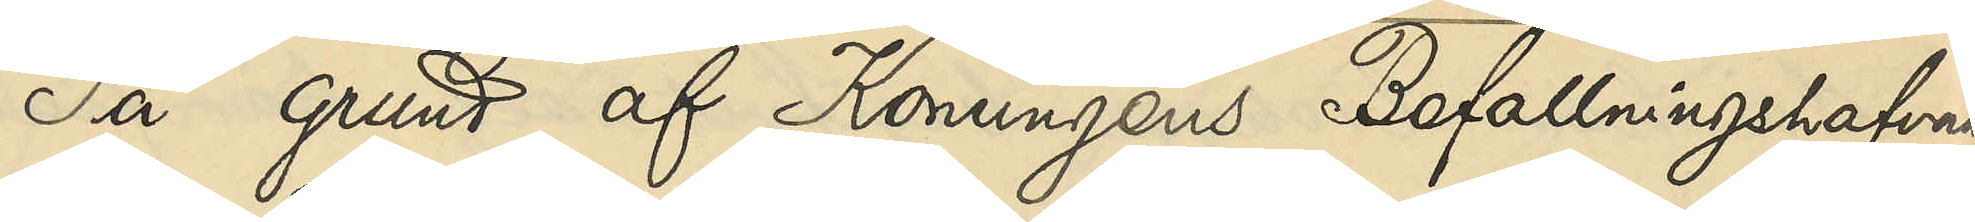På grund af Konungens Befallningshafvan¬
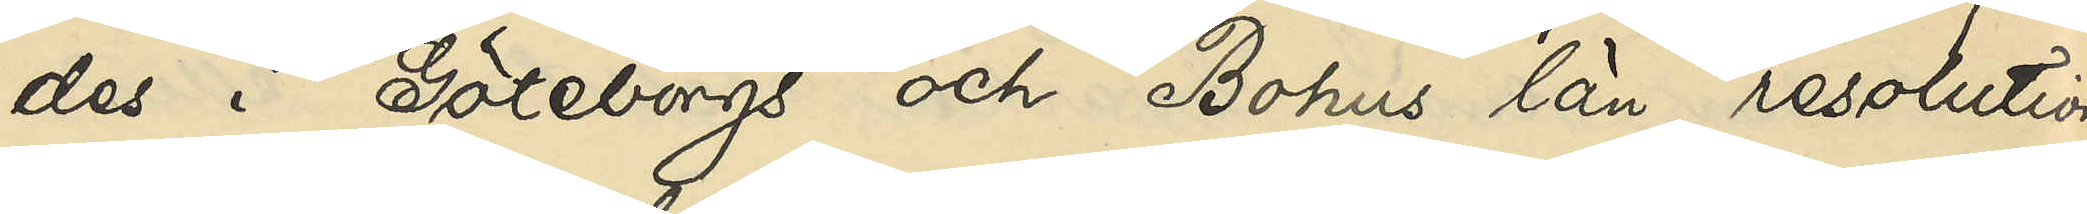des i Göteborgs och Bohus län resolution
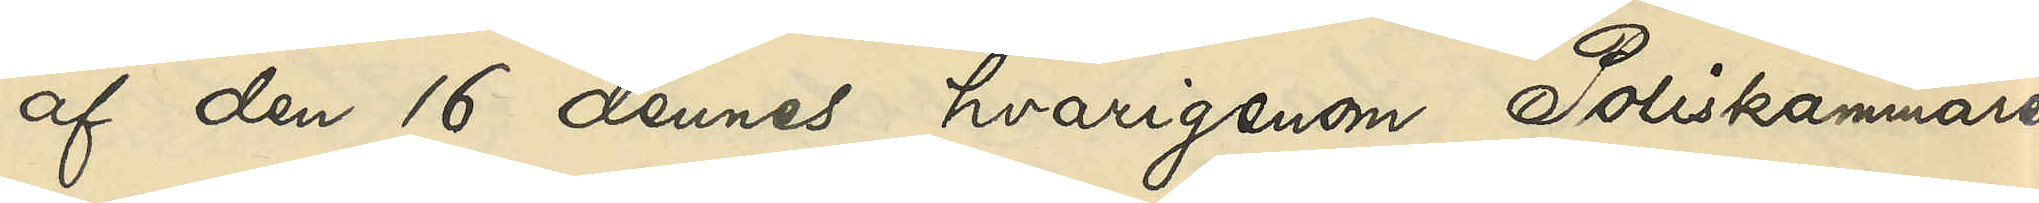af den 16 dennes, hvarigenom Poliskammaren
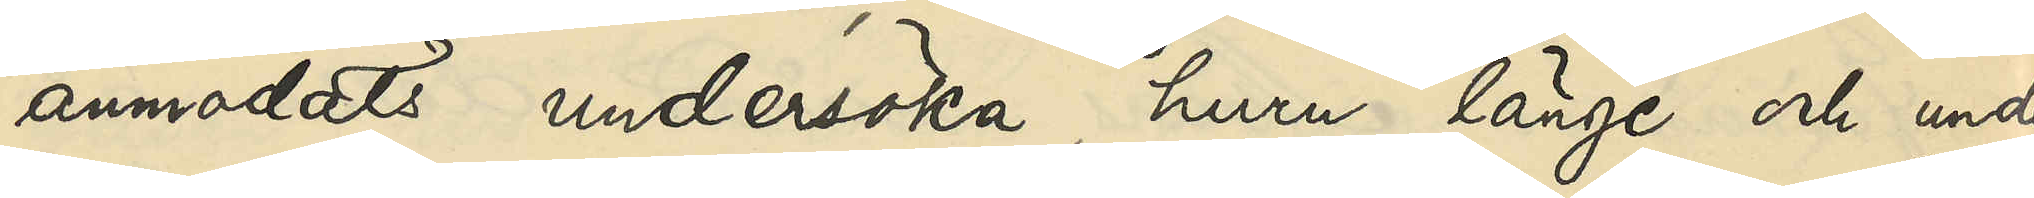anmodats undersöka, huru länge och under
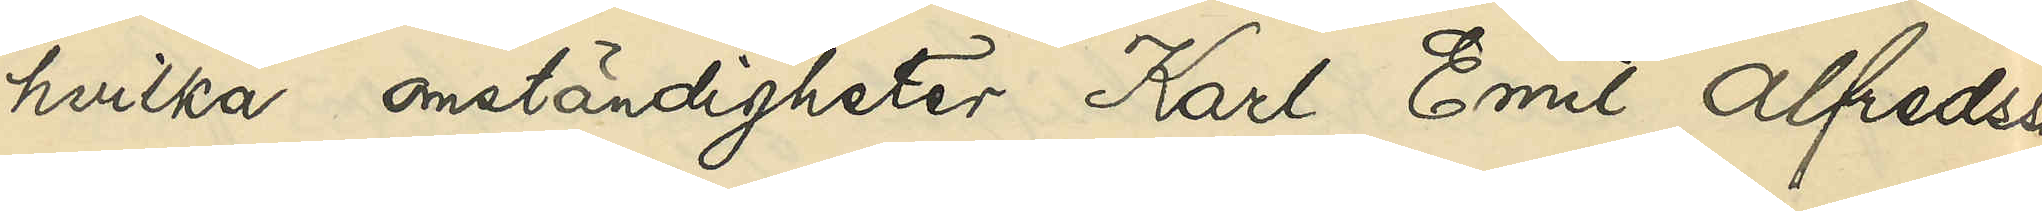hvilka omständigheter Karl Emil Alfredsson
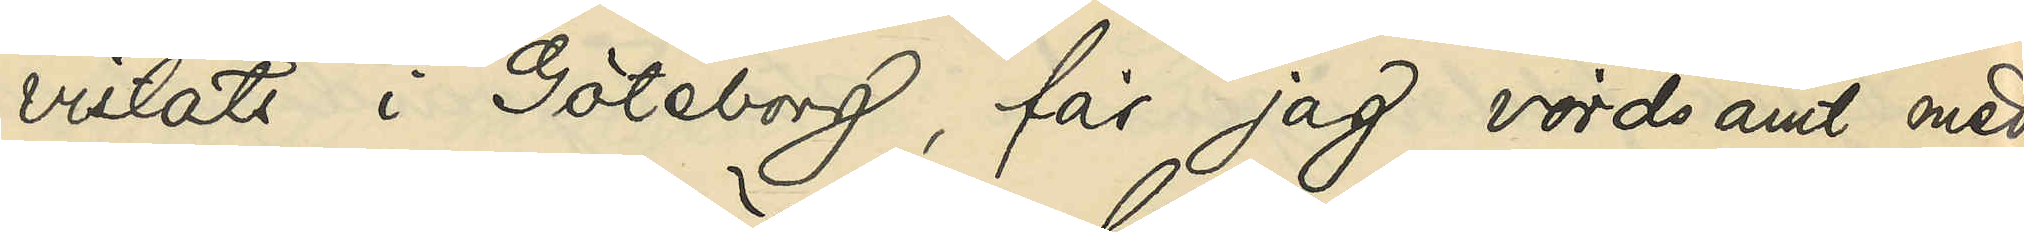vistats i Göteborg, får jag vördsamt med¬
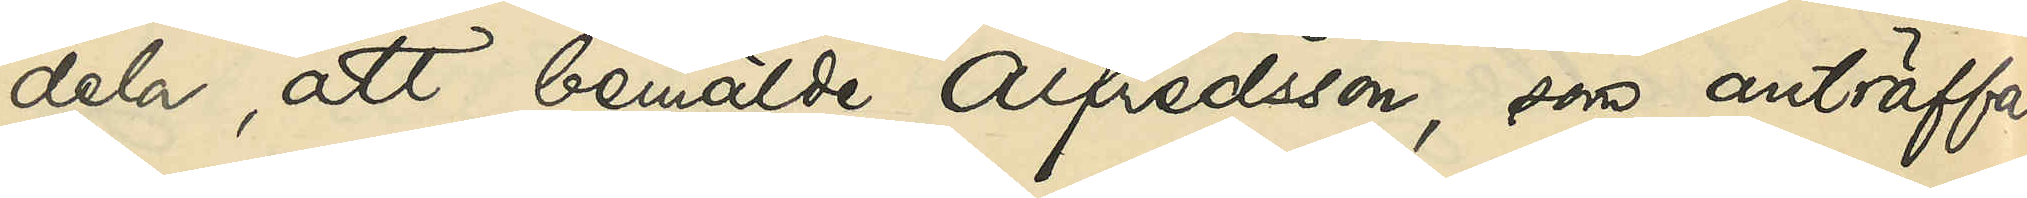dela, att bemälde Alfredsson, som anträffats
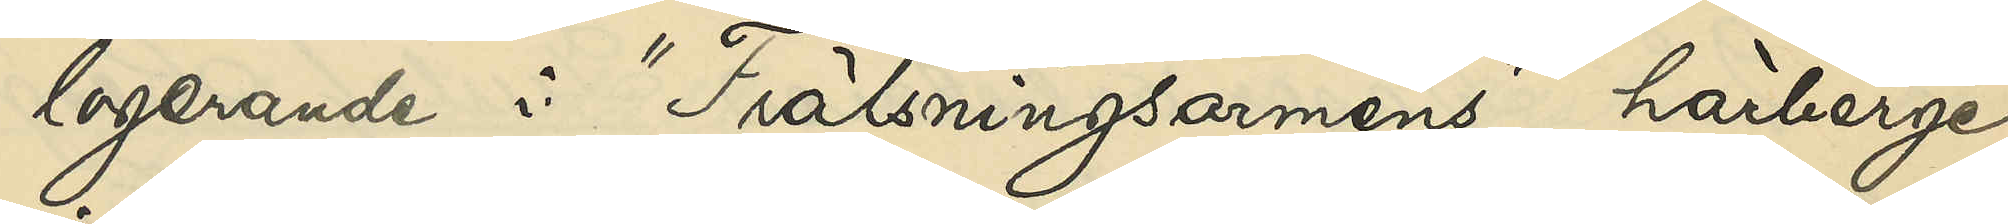logerande i "Frälsningsarméns" härberge
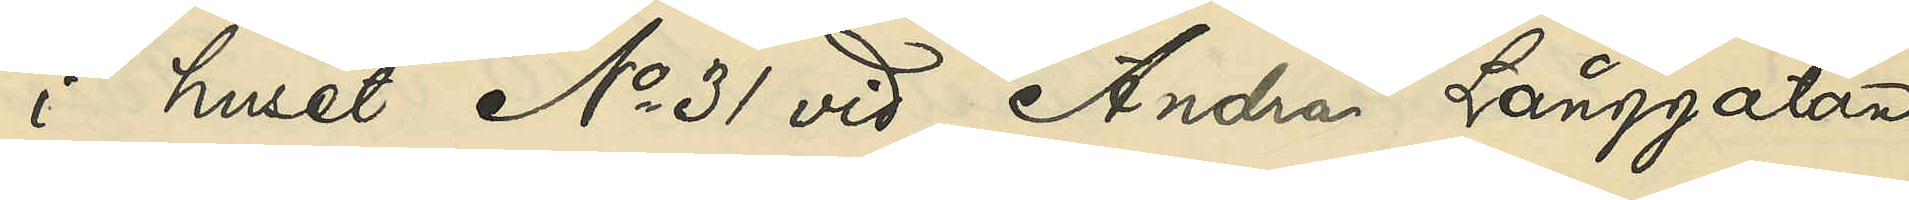i huset No 31 vid Andra Långgatan,
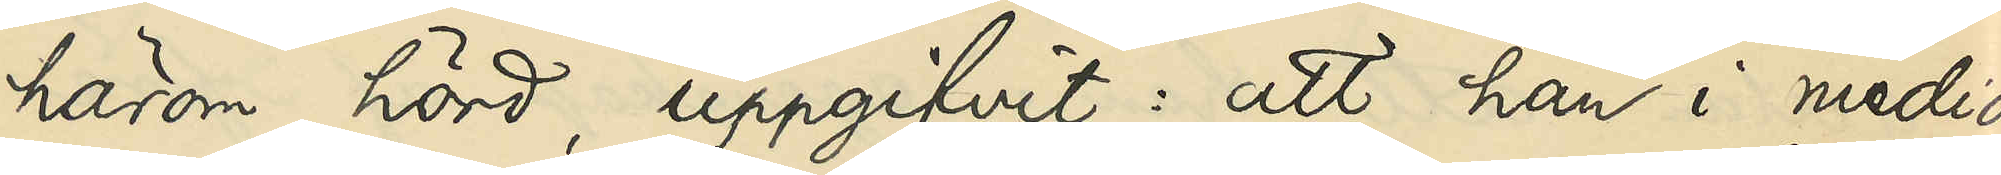härom hörd, uppgifvit: att han i medio
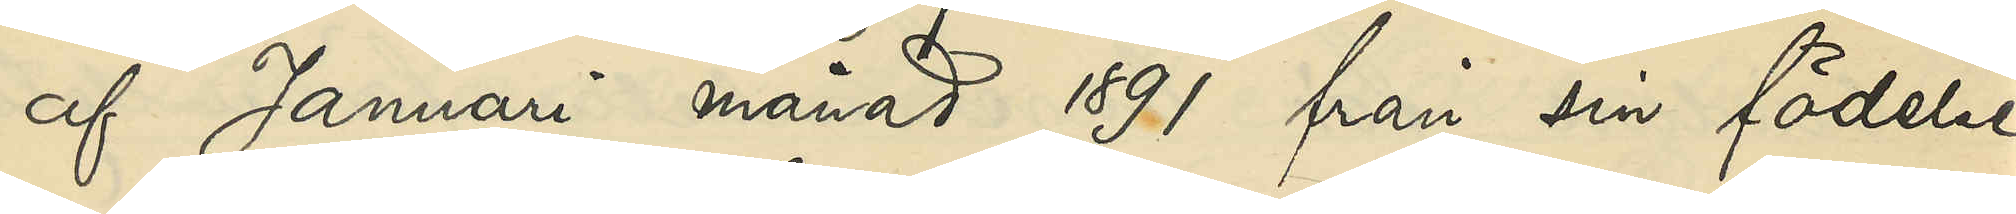af Januari månad 1891 från sin födelse¬
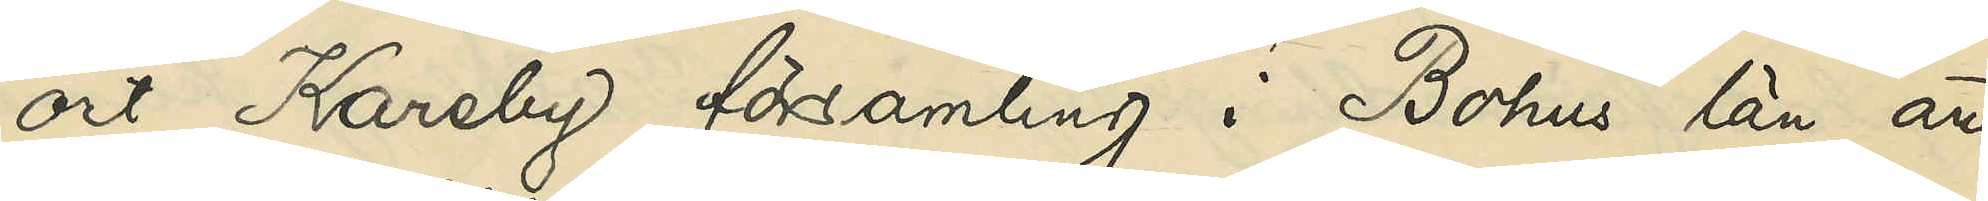ort Kareby församling i Bohus län an¬
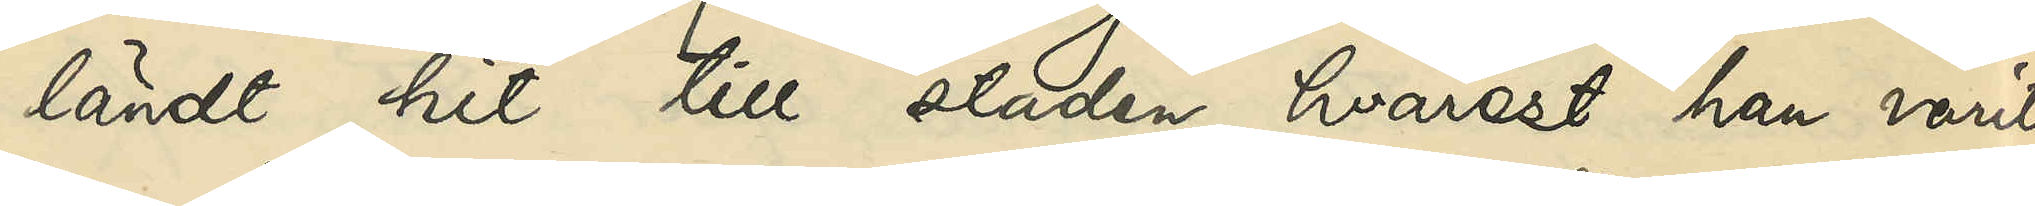ländt hit till staden, hvarest han varit
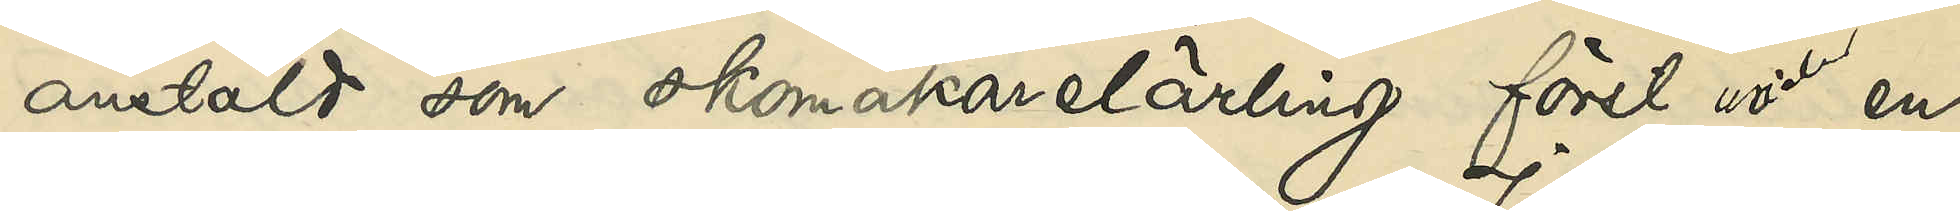anstäld som skomakarelärling först under en
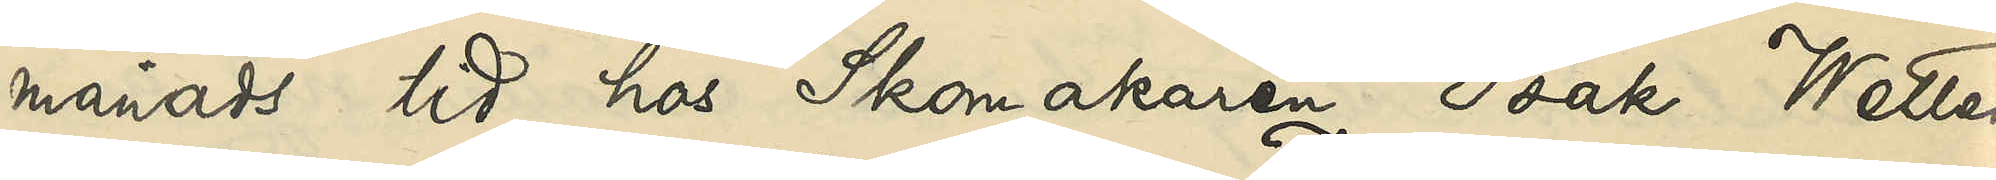månads tid hos Skomakaren Isak Wetter¬
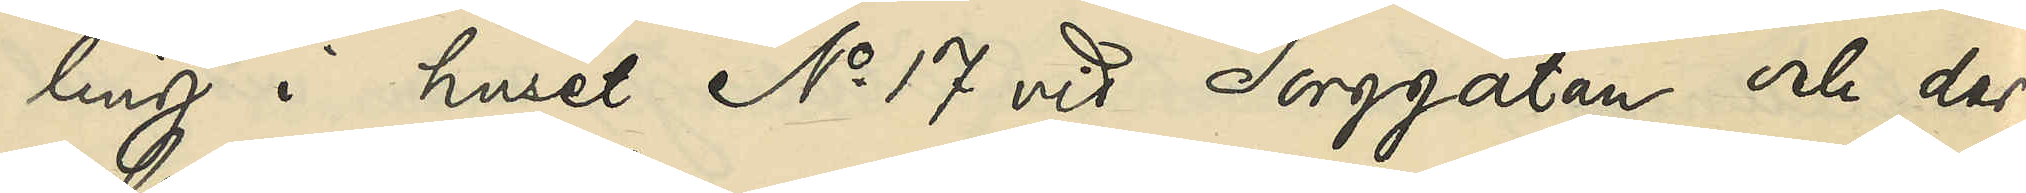ling i huset No 17 vid Torggatan och der¬
